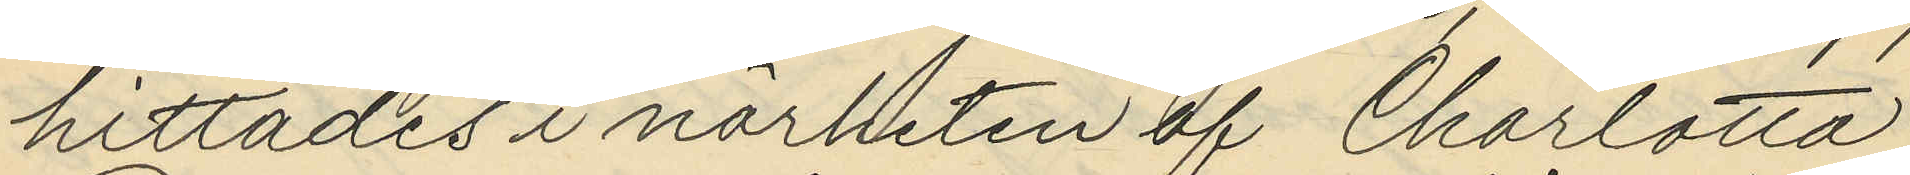hittades i närheten af Charlotta
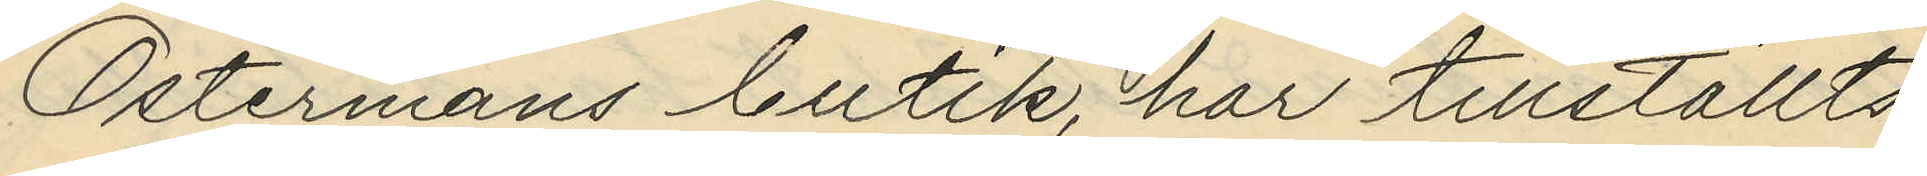Östermans butik, har tillställts
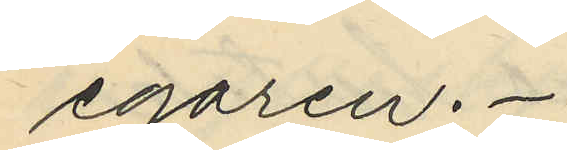egaren.
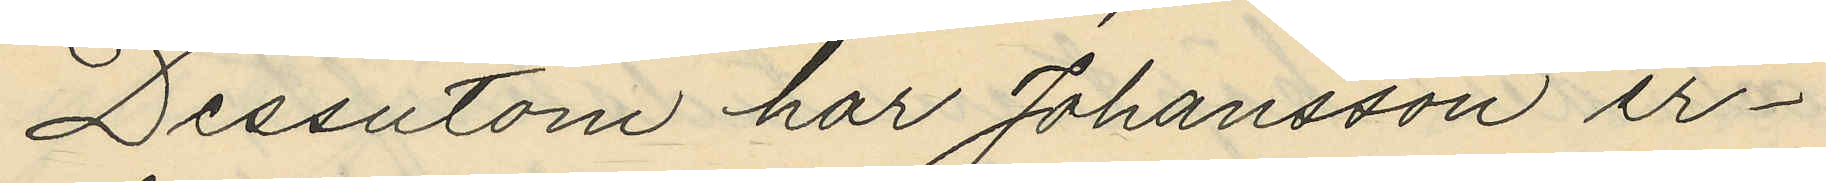Dessutom har Johansson er¬
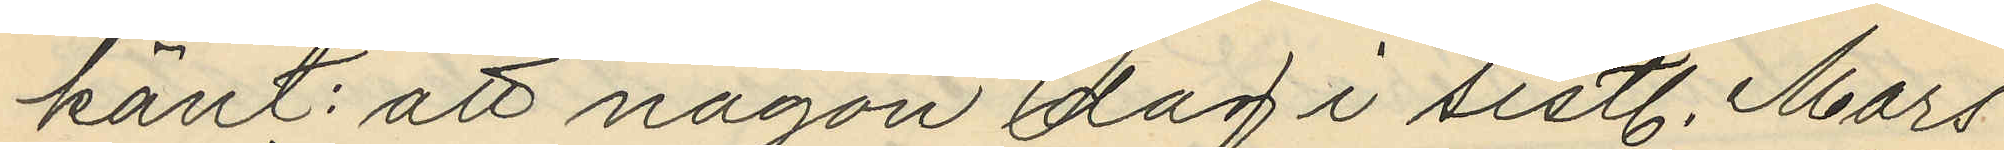känt: att någon dag i sistl. Mars
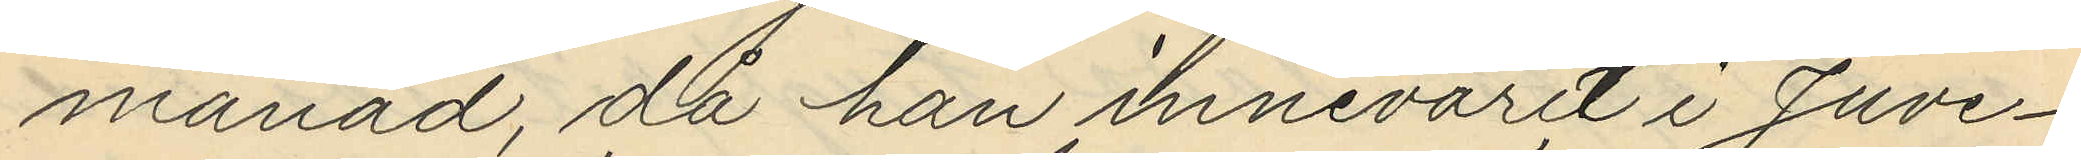månad, då han innevarit i Juve¬
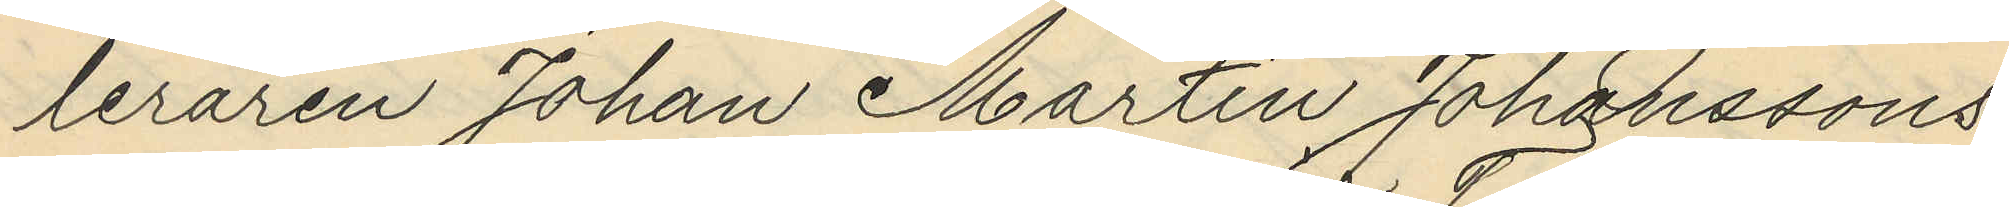leraren Johan Martin Johanssons
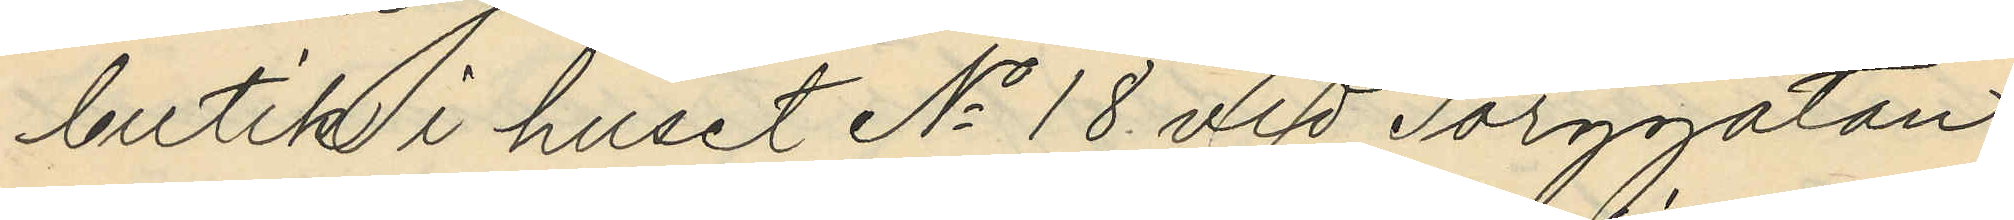butik i huset No 18 vid Torggatan
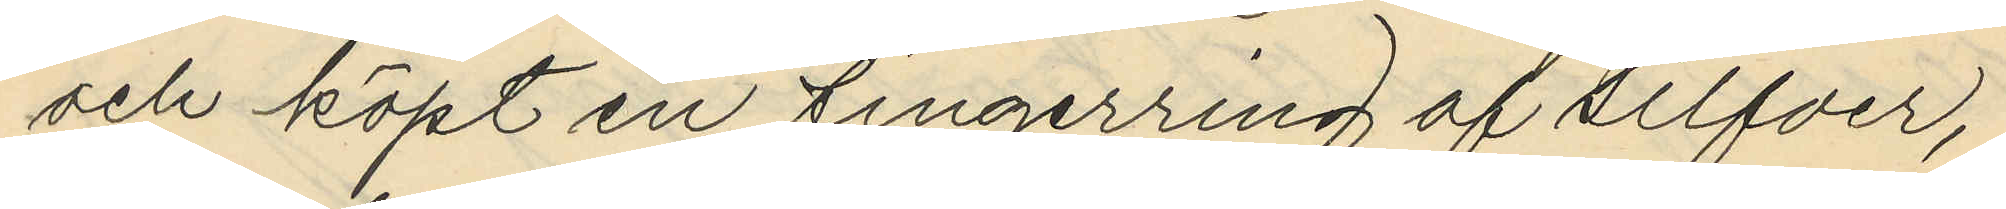och köpt en fingerring af silfver,
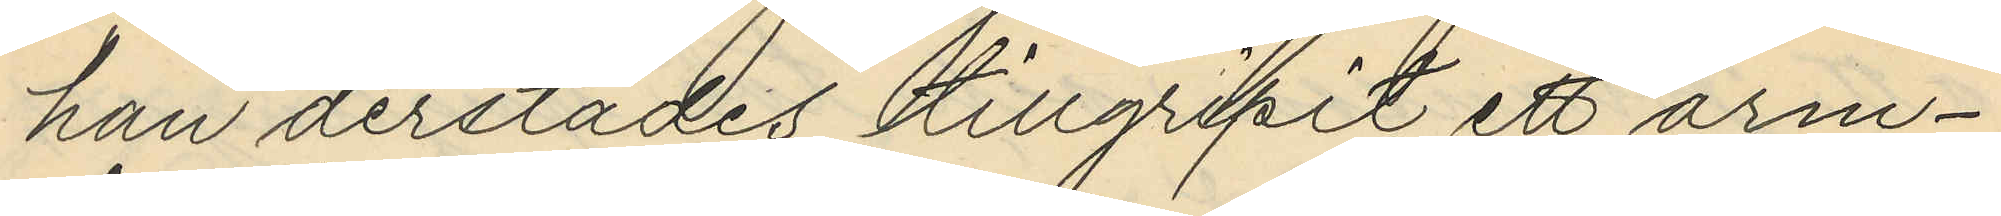han derstädes tillgripit ett arm¬
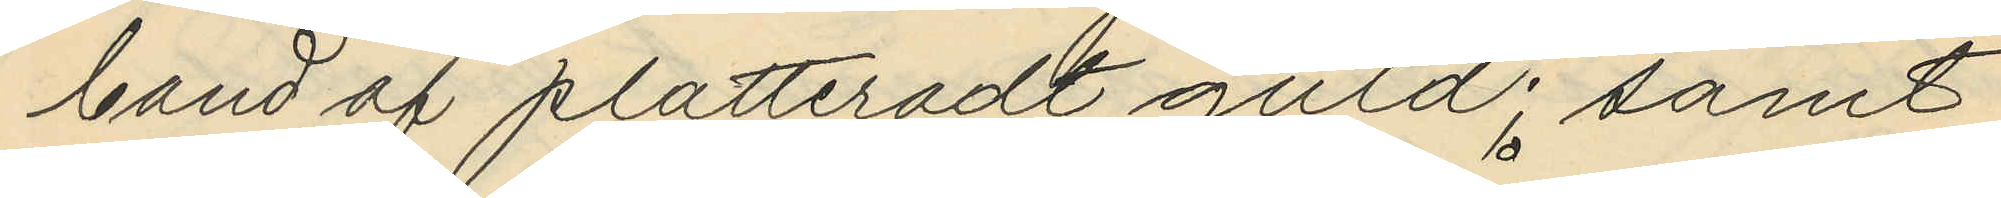band af plätteradt guld; samt
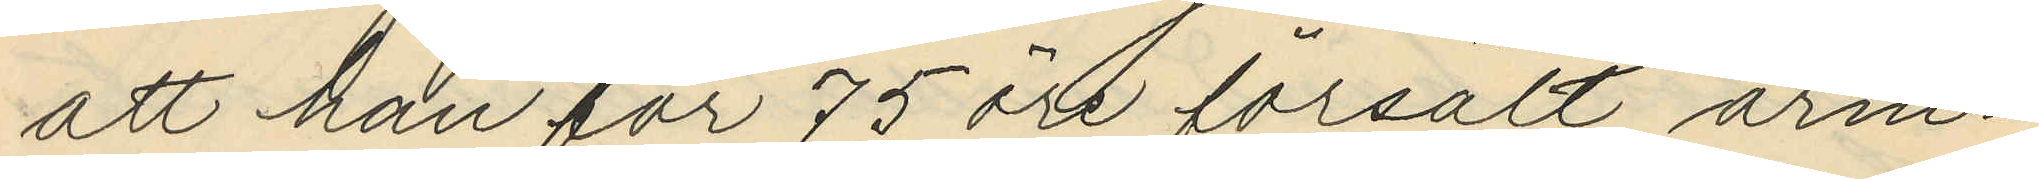att han för 75 öre försålt arm¬
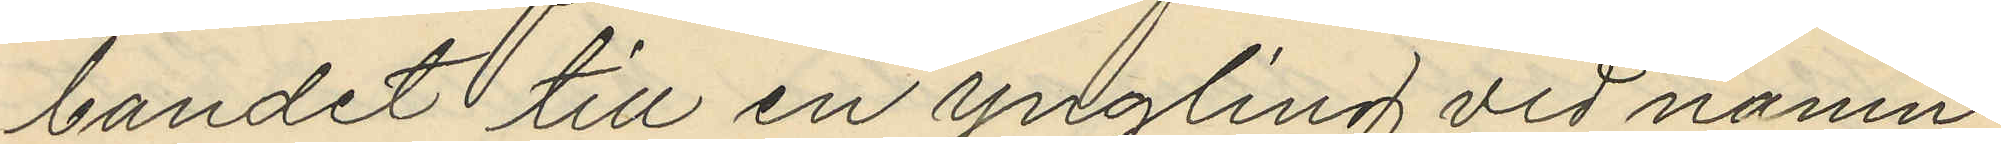bandet till en ungling vid namn
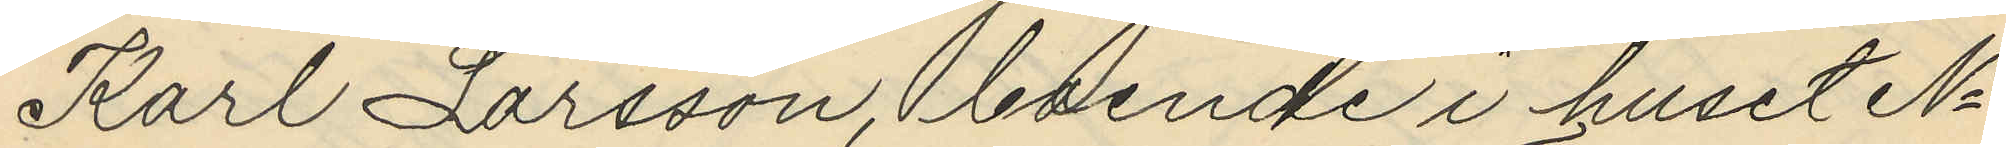Karl Larsson, boende i huset No
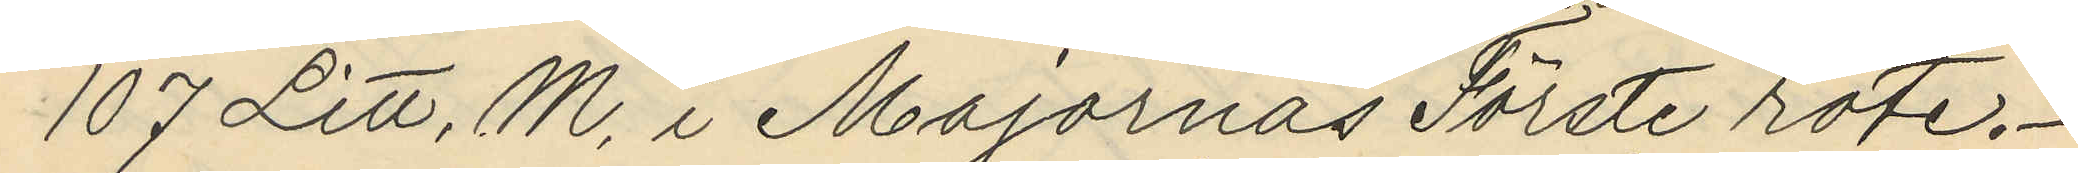107 Litt. M. i Majornas Förste rote.
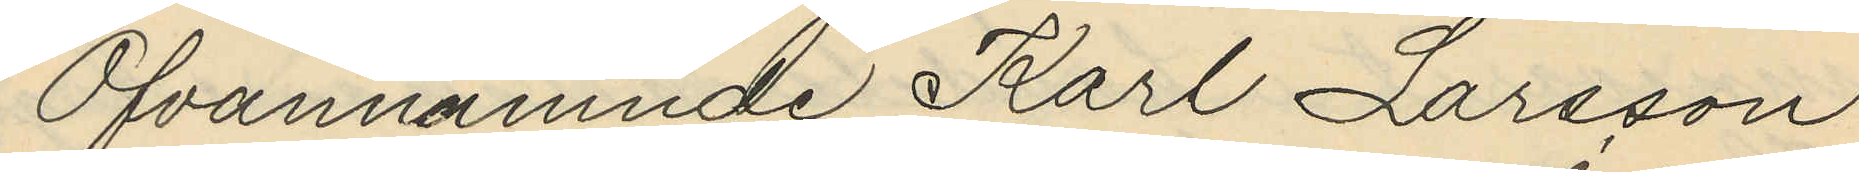Ofvannämnde Karl Larsson
